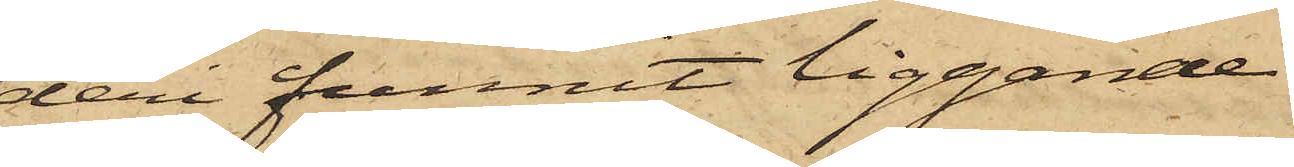deri funnit liggande
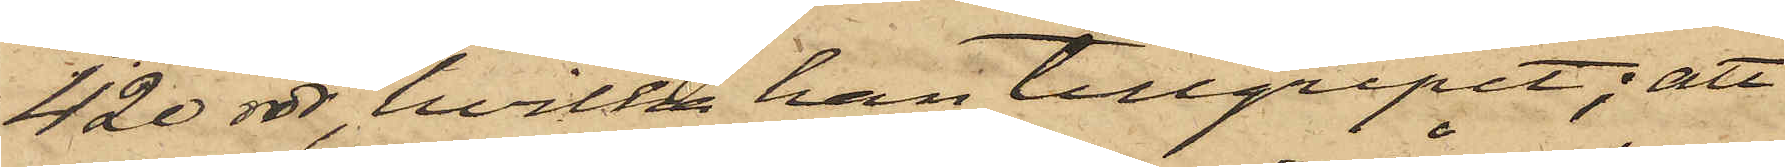420 rdr, hvilka han tillgripit; att
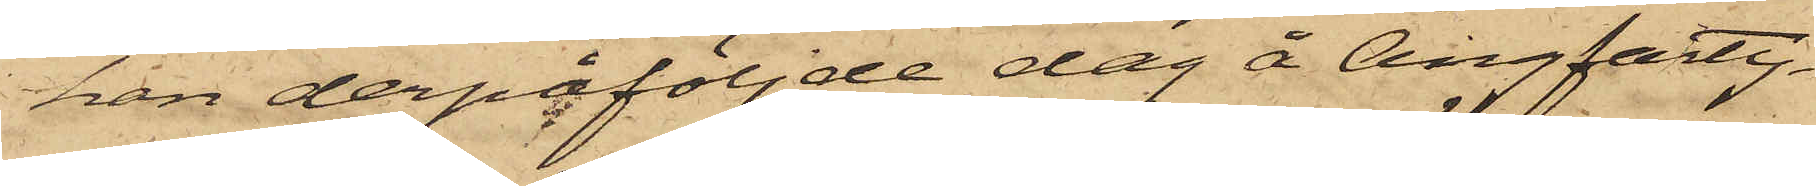han derpåföljde dag å Ångfarty¬
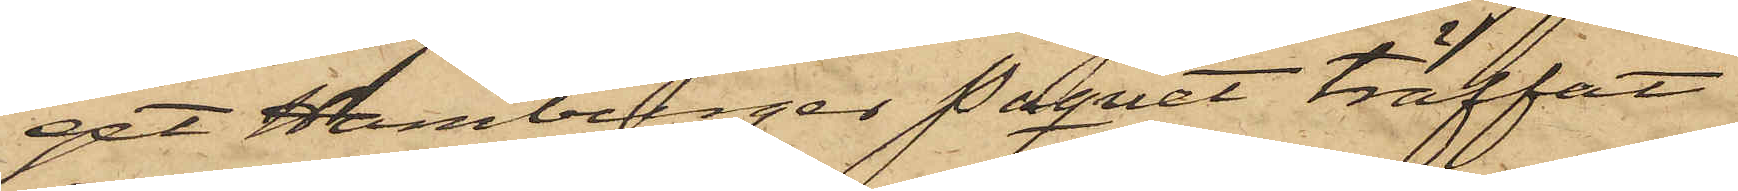get Hamburger Paquet träffat
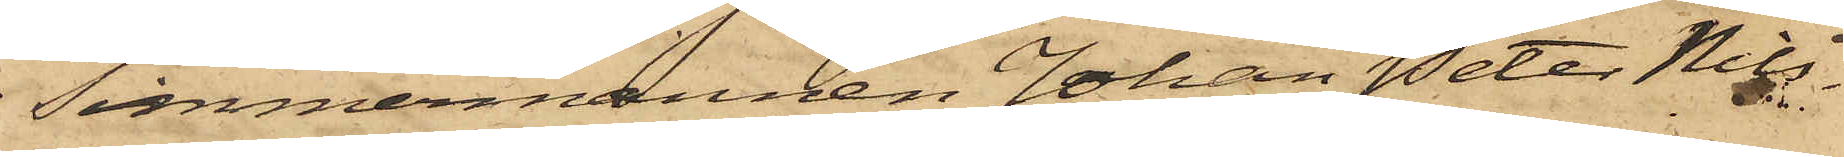Timmermannen Johan Peter Nils¬
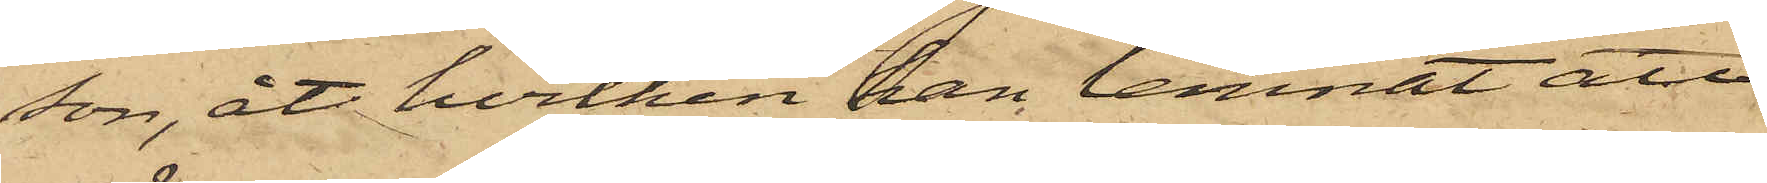son, åt hvilken han lemnat att
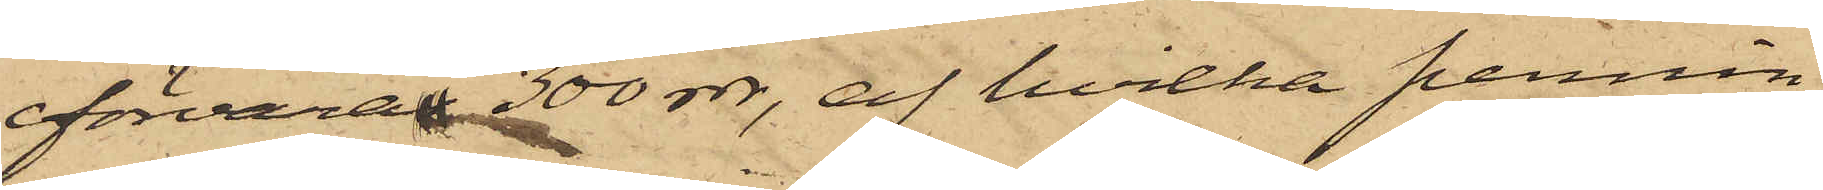förvaras 300 rdr, af hvilka pennin¬
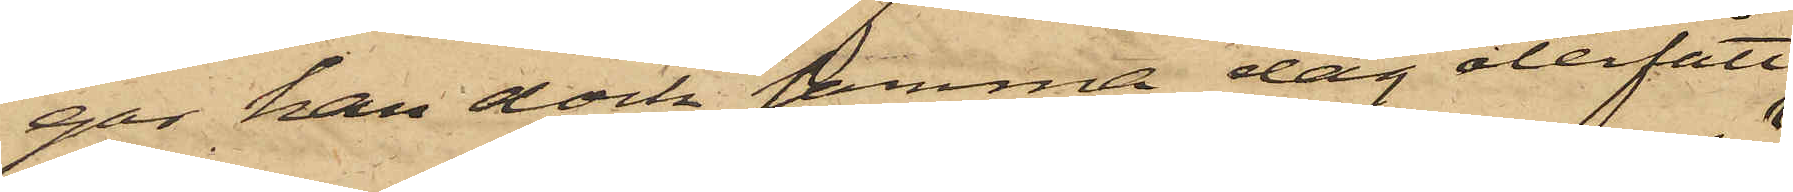gar han dock samma dag återfått
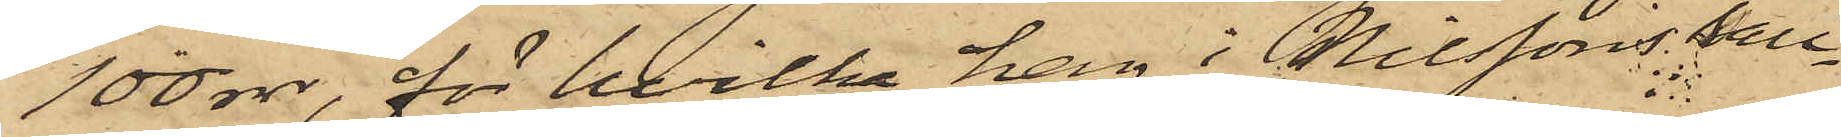100 rdr, för hvilka han i Nilssons säll¬
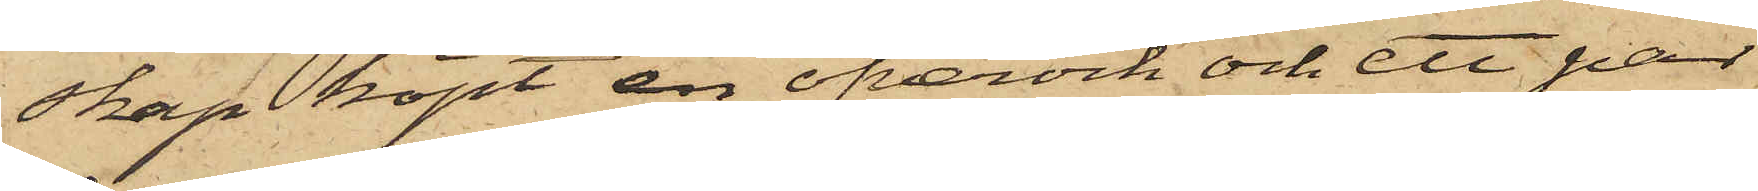skap köpt en öfverock och ett par
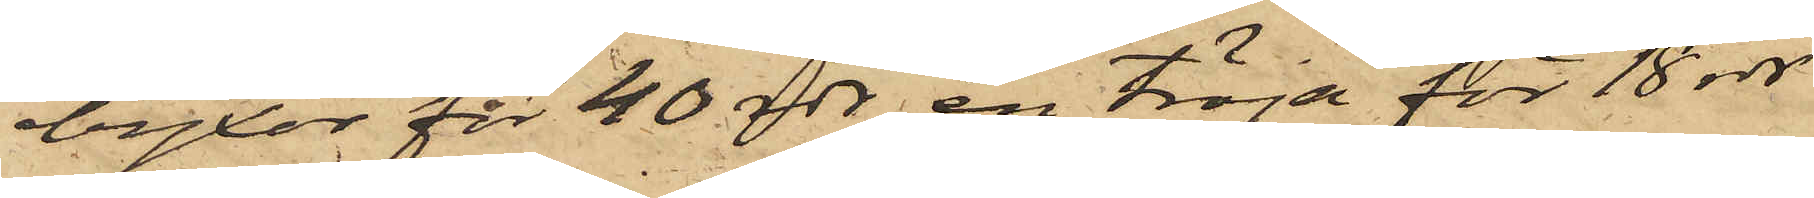byxor för 40 rdr, en tröja för 18 rdr
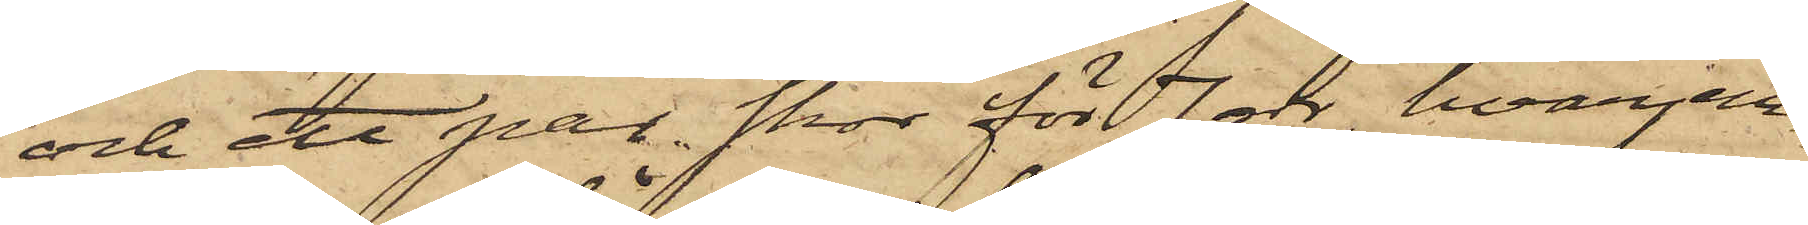och ett par skor för 7 rdr, hvarjem¬
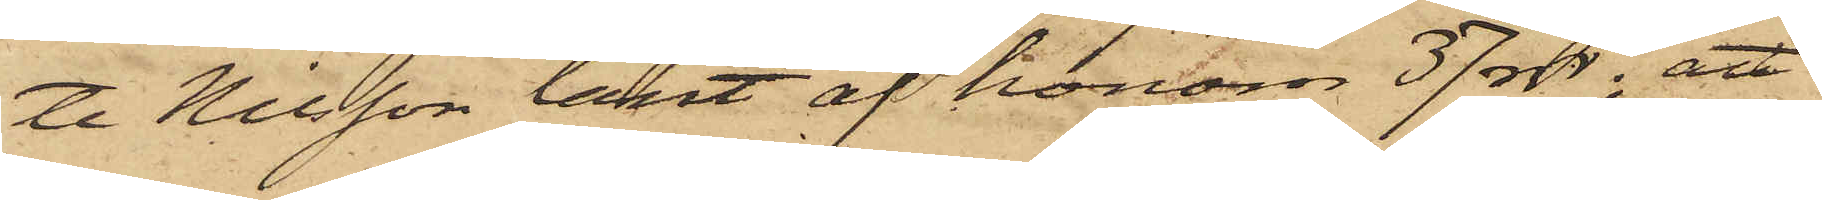te Nilsson lånat af honom 37 rdr; att
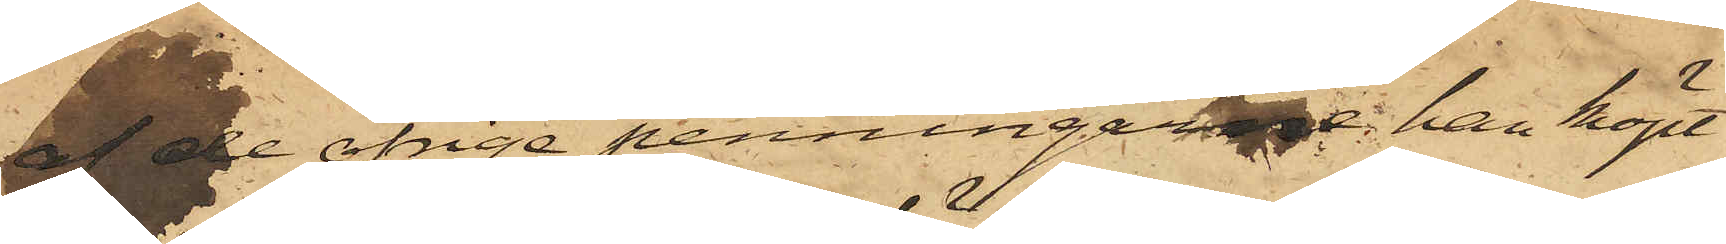 af de öfriga penningar han köpt
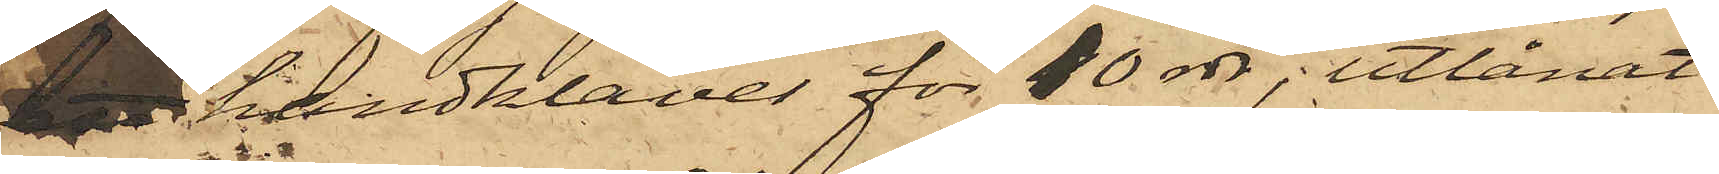 ett handklaver  för 10 rdr, utlånat
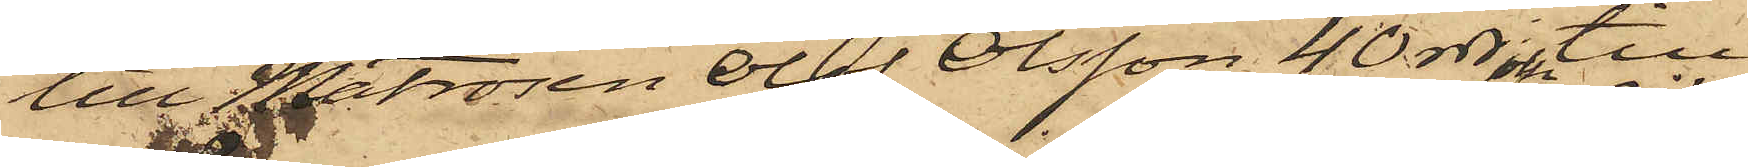till Matrosen Olof Olsson 40 rdr; till
